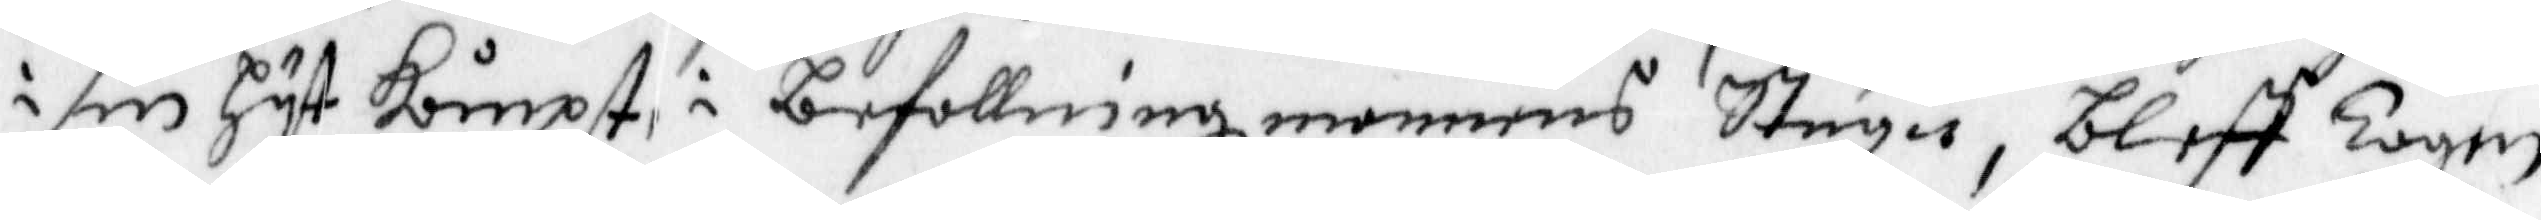i sin hyt kompt i Befallning mannens Stugu, bleff togen
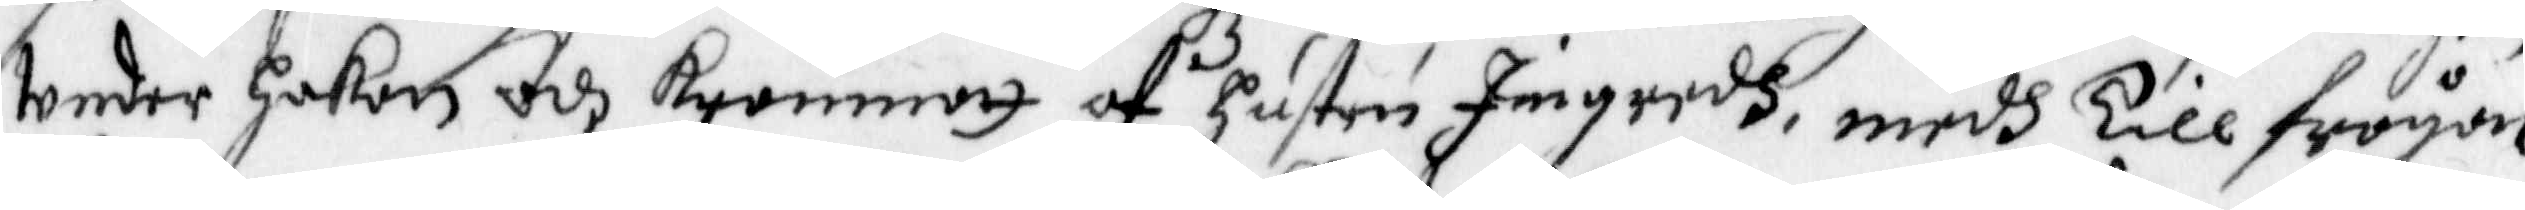Under Hakan odh krammatt af Hustru Ingredh, medh Till frågon,
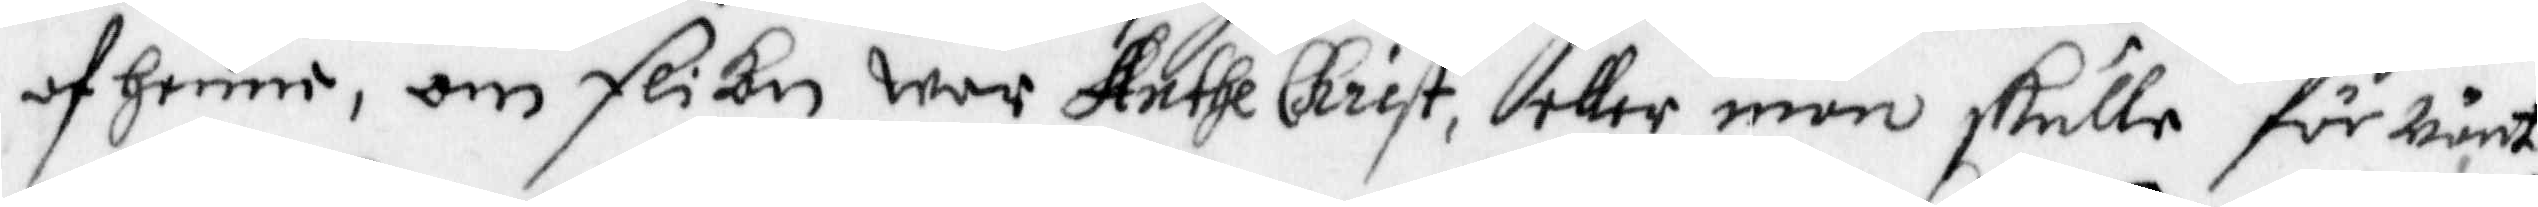af henne, om flikan war Anthe Christ, eller man skulle förwänta
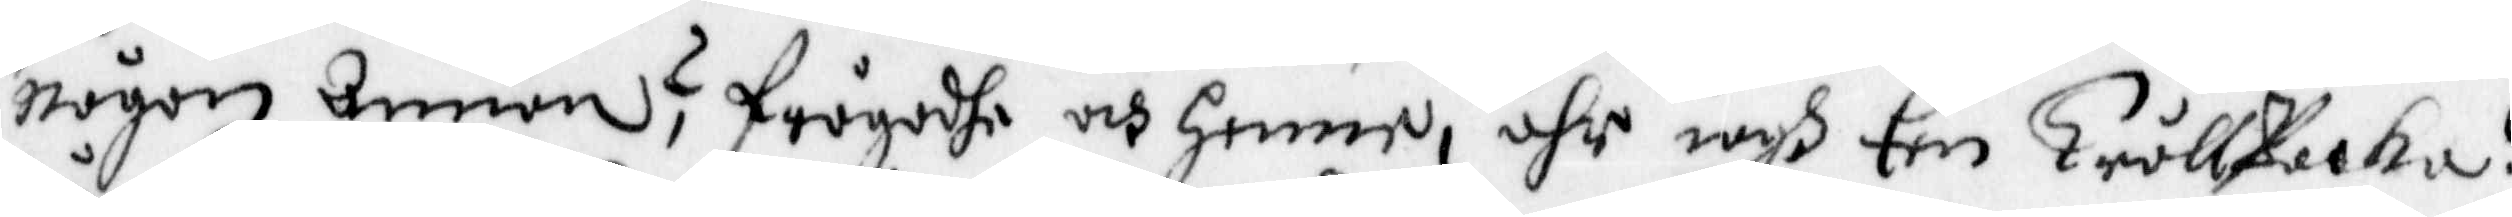någon Annan? Frågadhe och henne, ähr iagh Een trållpacka?
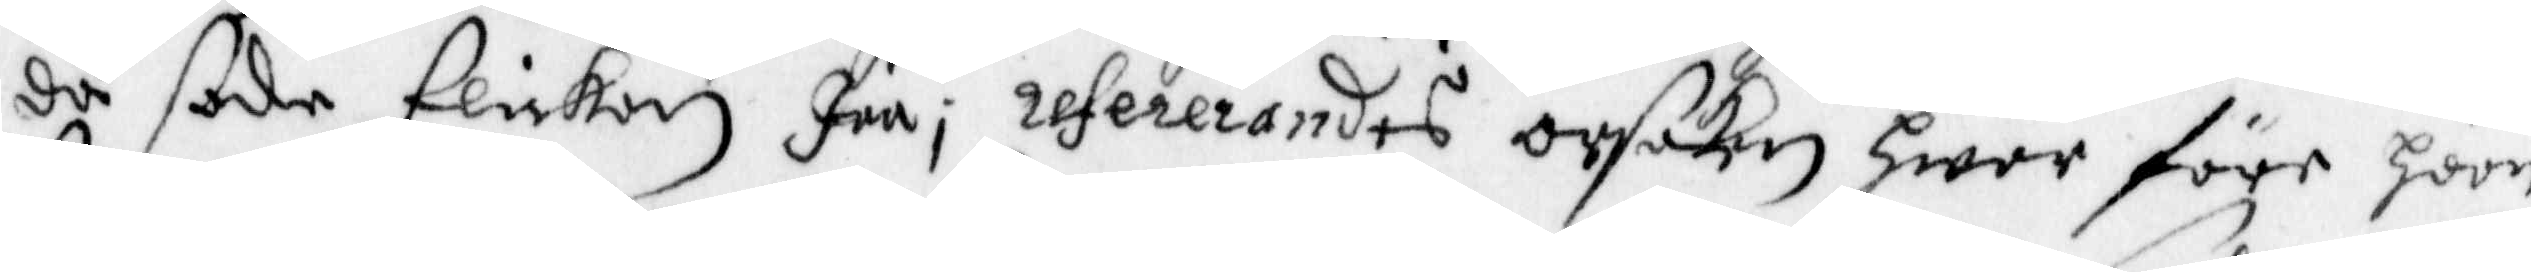då sade flickan Jaa, refererandes orsaken Hwar före hoon
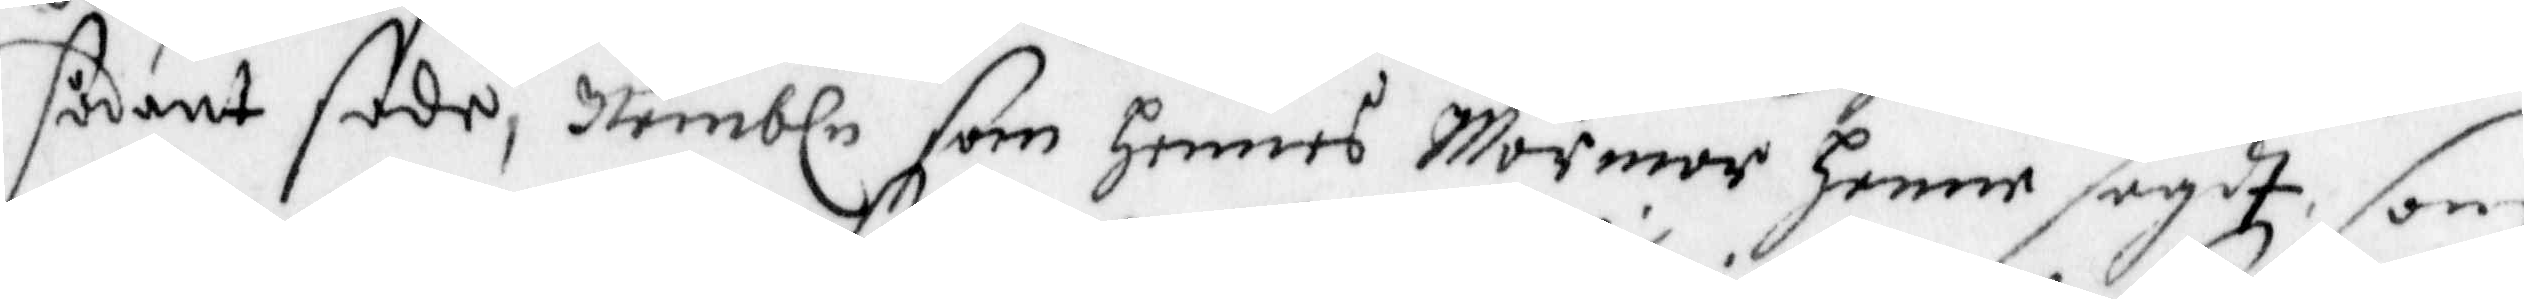sådant sade, Nembln som hennes Mormor henne sagdt som
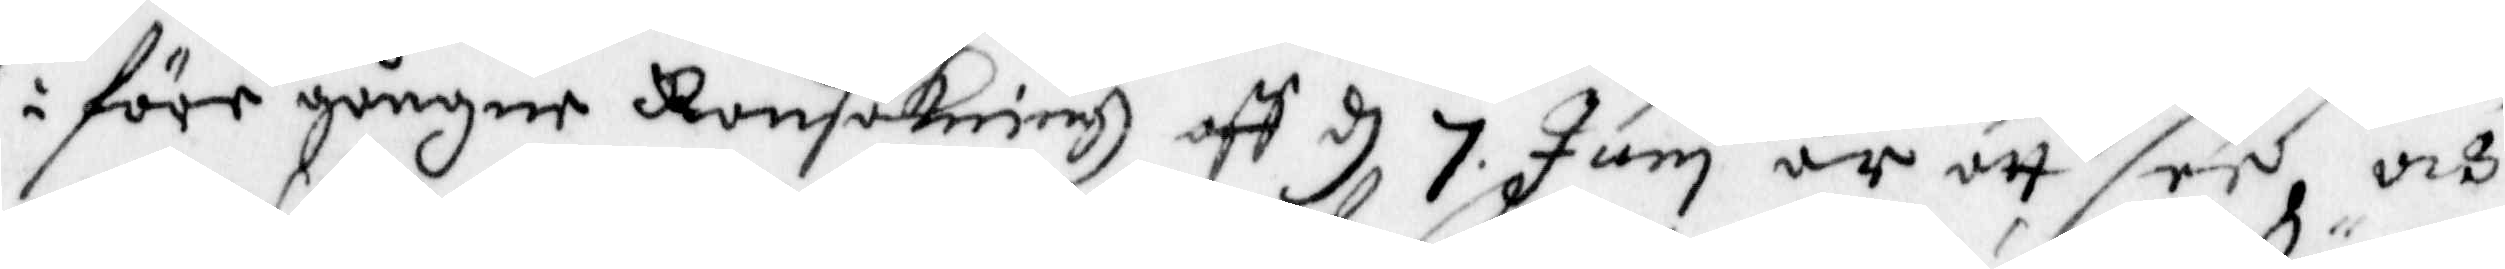i före gångne Ransakningh aff d 7 Juni är att see, och
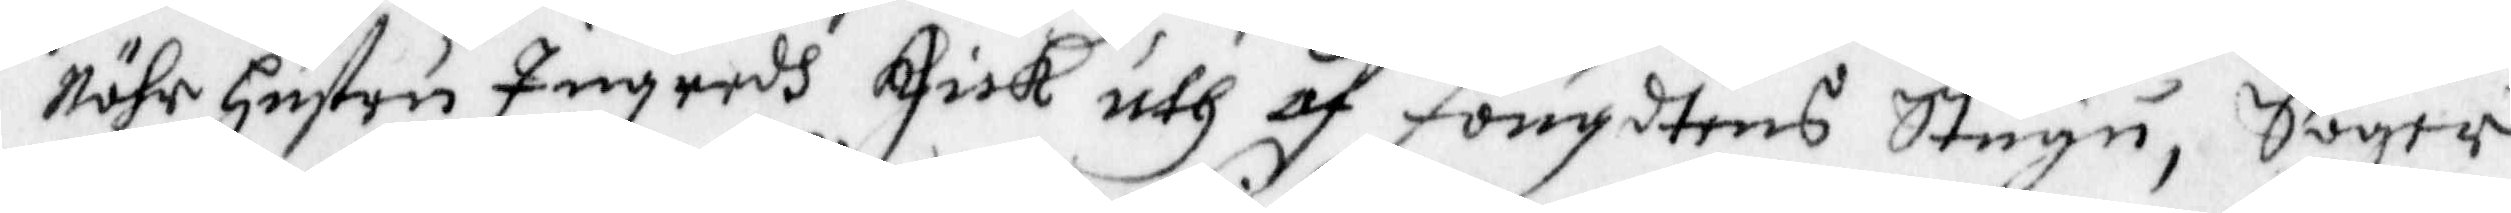nähr hustru Ingredh gick uth af fougdtens Stugu, Säger
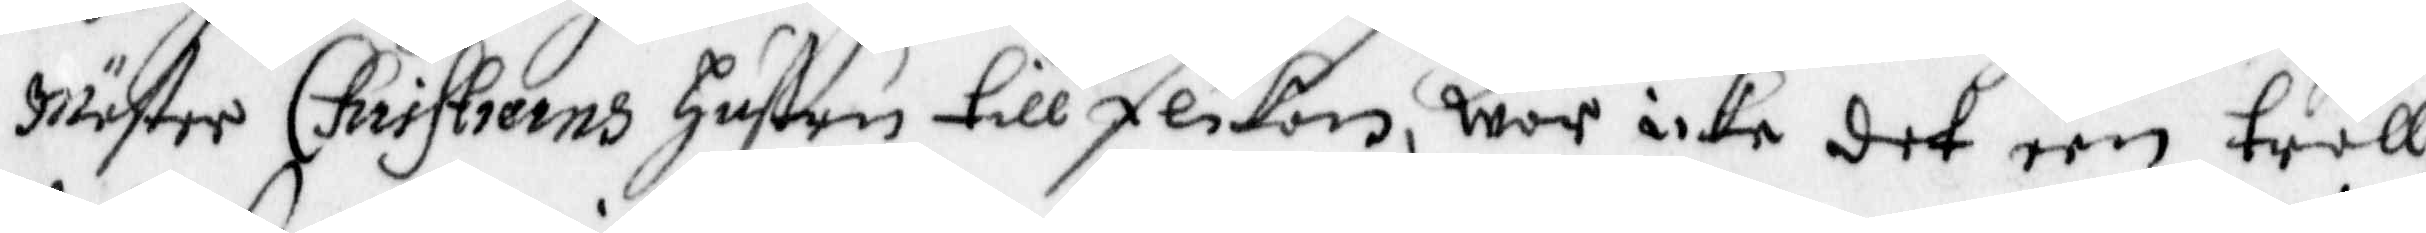Mäster Christierns Hustru till flickan, war icke det een tråll¬
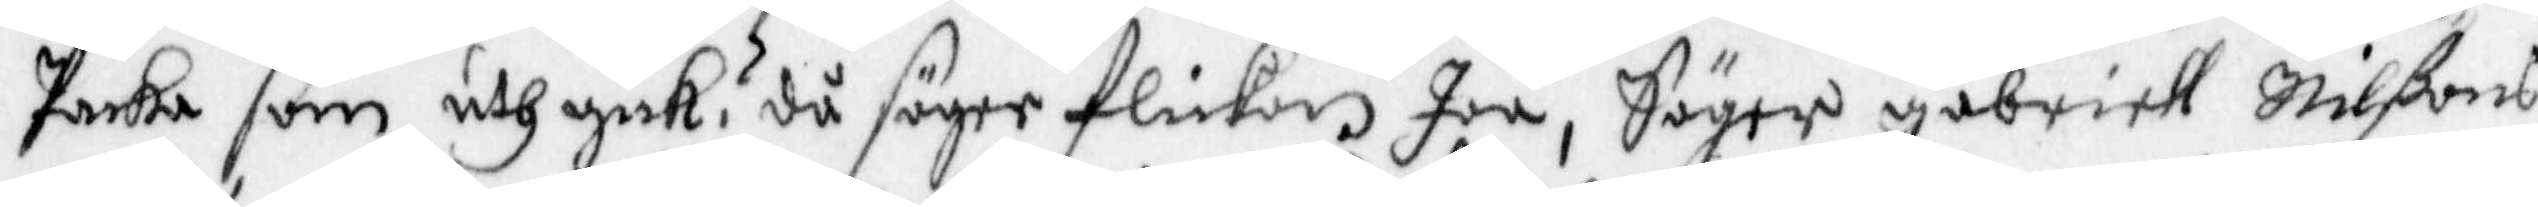Packa som uthgick, då säger flickan Jaa, Säger Gabriell Nilßons
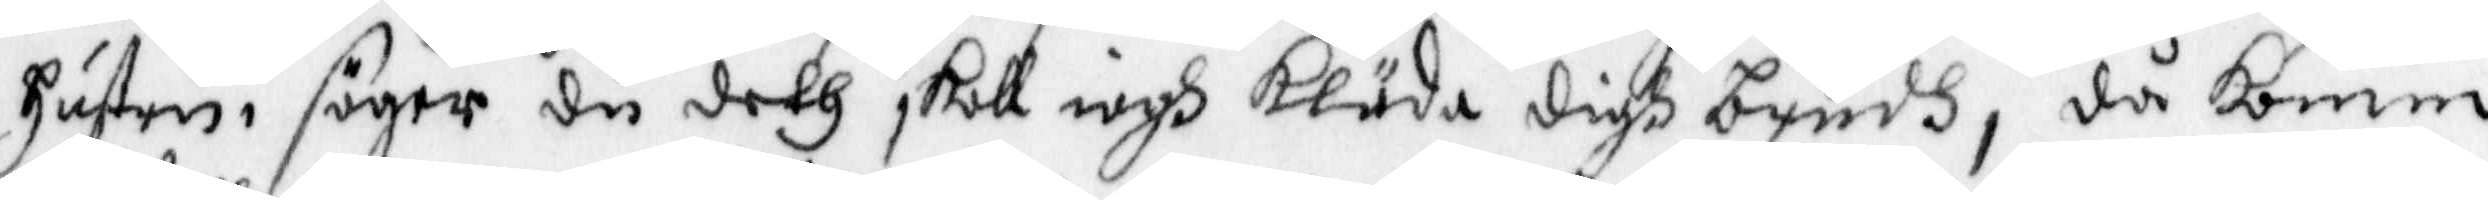Hustru, säger du deth skall iagh kläda digh brudh, då komm
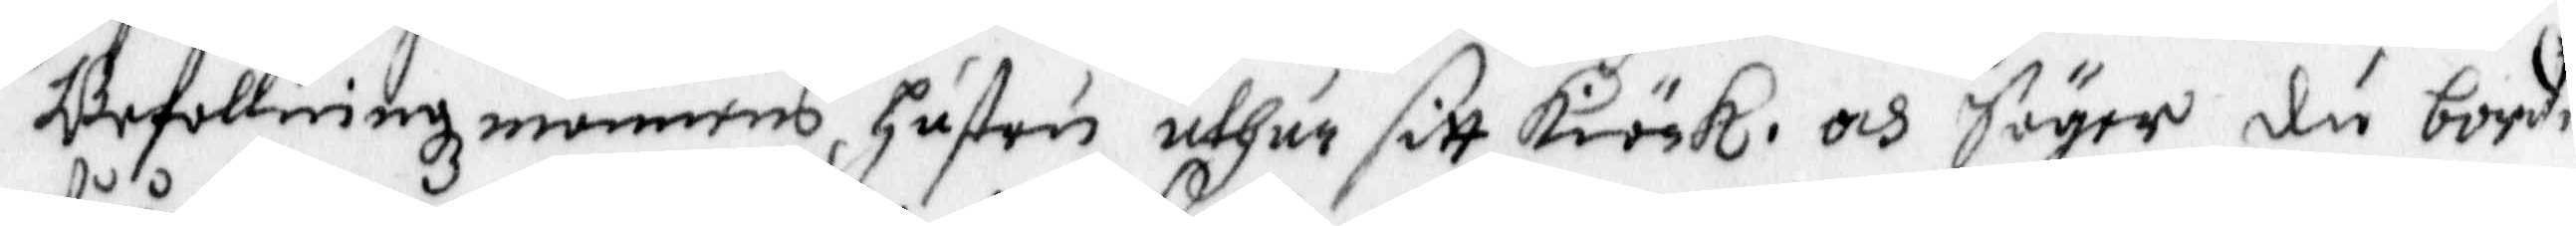Befallningzmannens Hustru uthur sitt Kiöck, och säger du borde
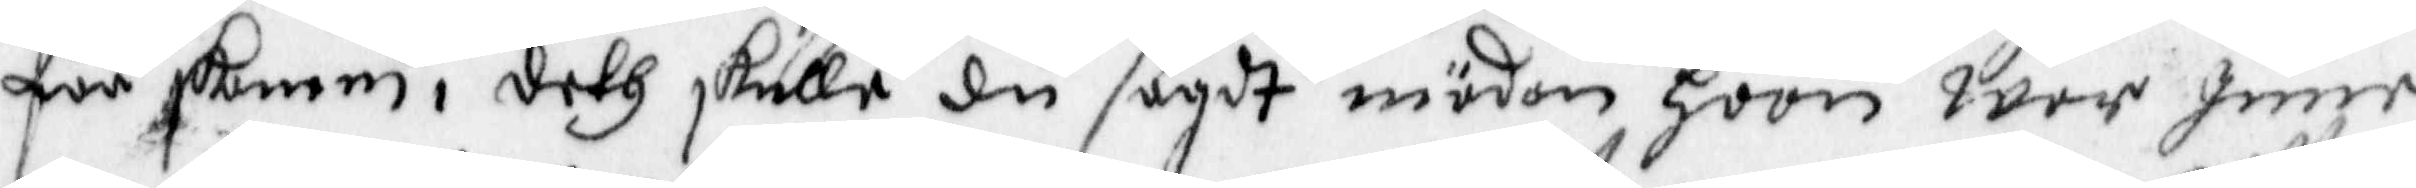fåå skamm, deth skulle du sagdt mädan hoon wår Inne,
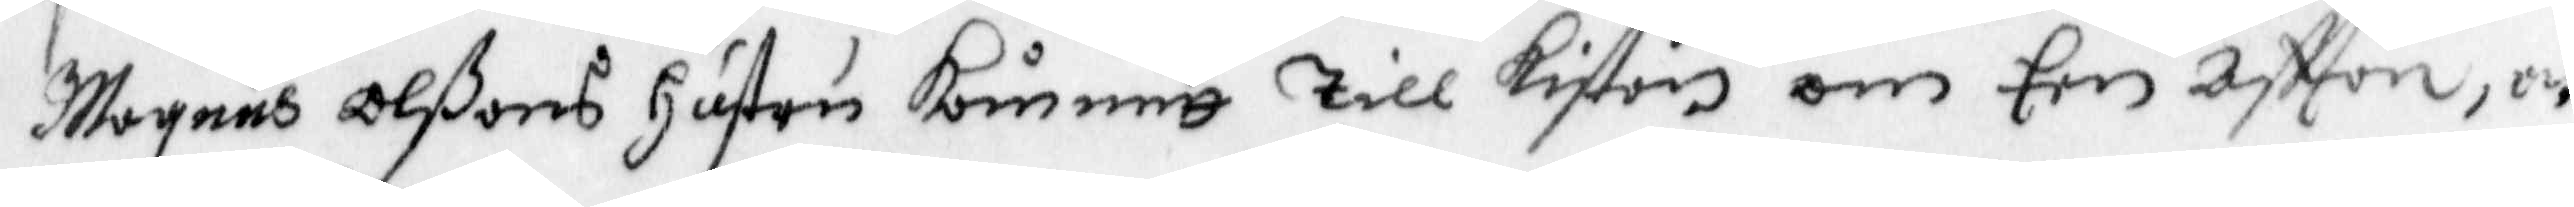Mogens Olßons Hustru kommitt till kistan om Een aftton, och
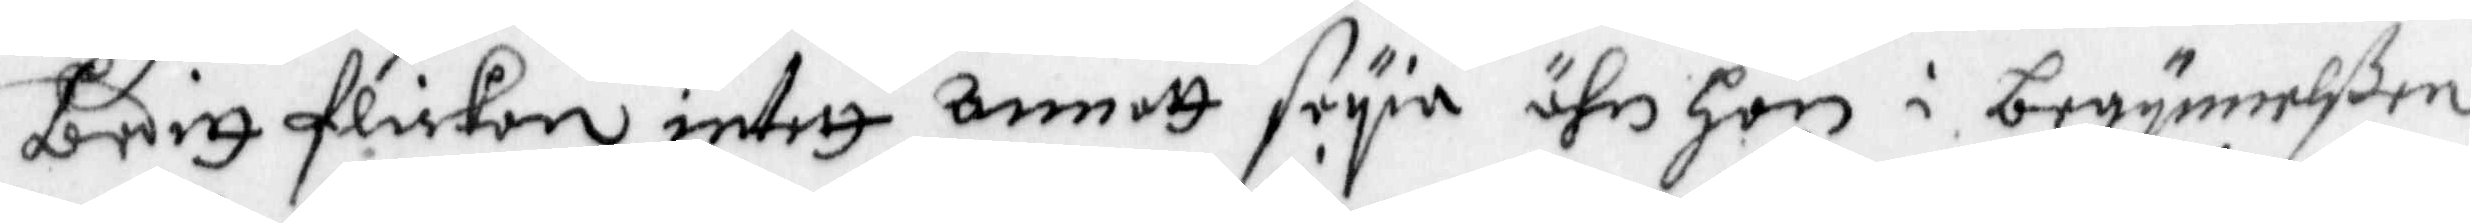Beditt flickan intet annat säya ähn hon i begynnelßen
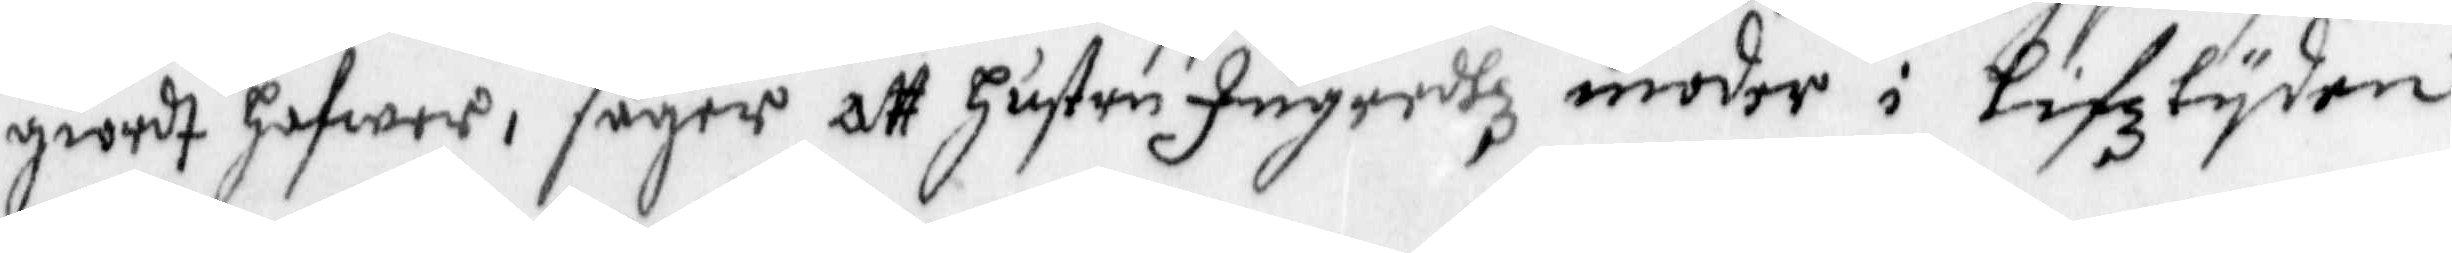giordt hafwer, säger att Hustru Ingredhz moder i Lifztyden
